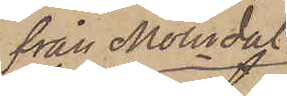från Mölndal
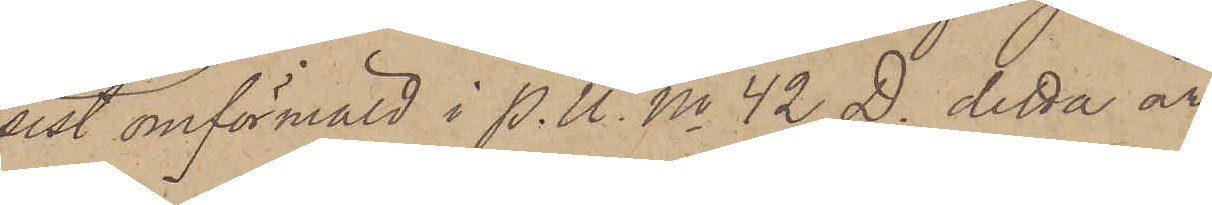sist omförmäld i P. U. No 42 D. detta år
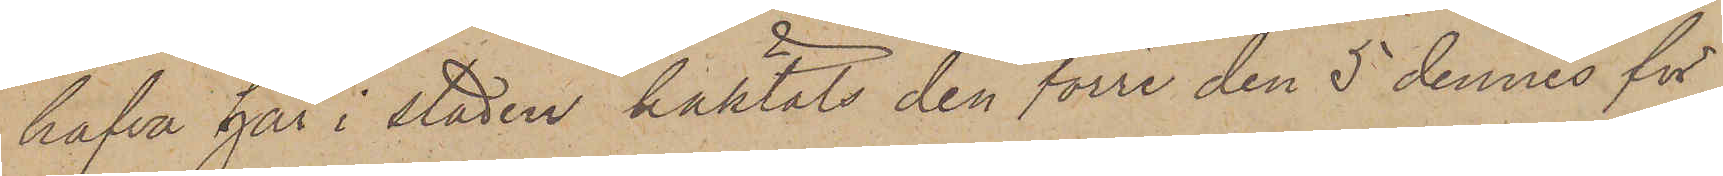hafva här i staden häktats den förre den 5 dennes för
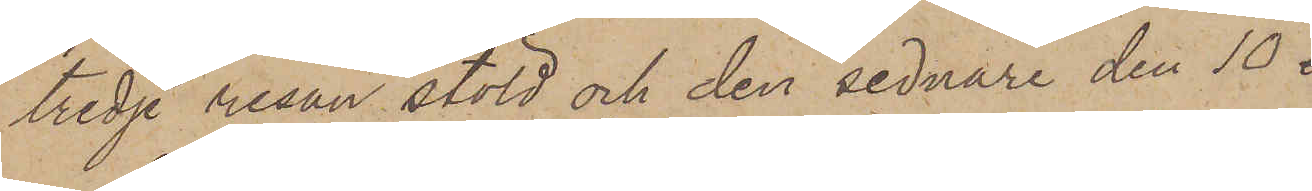tredje resan stöld och den sednare den 10 i
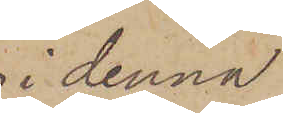i denna
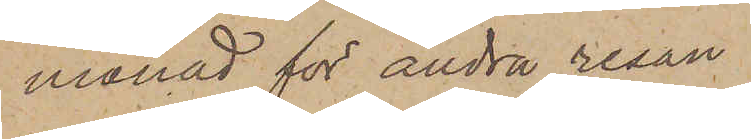månad för andra resan
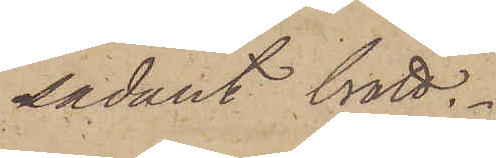sådant brott.
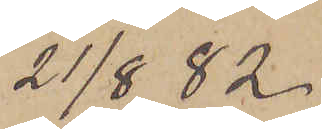21/8  82
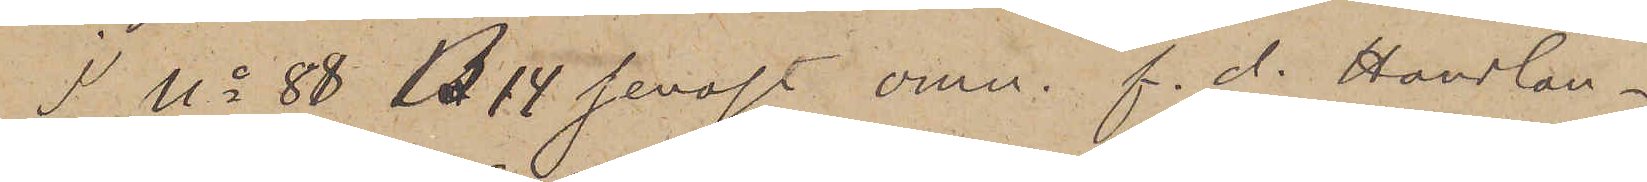I No 88 B 14 senast omn. f. d. Handlan¬
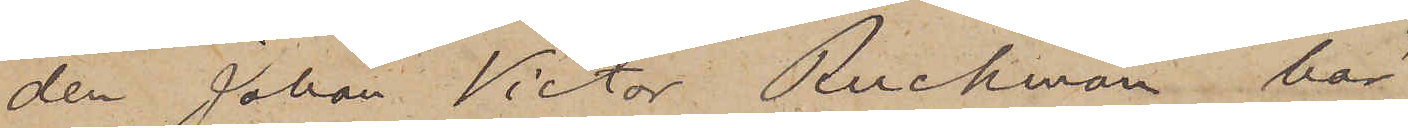den Johan Victor Ruckman har,
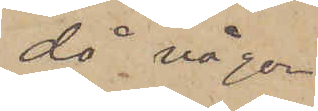då någon
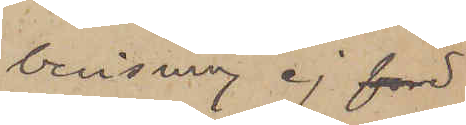bevisning ej före
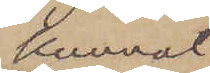kunnat
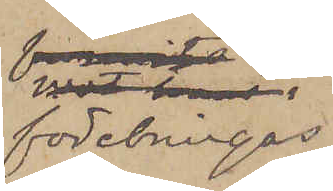förebringas
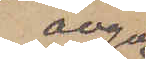angå¬
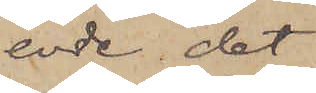ende det
